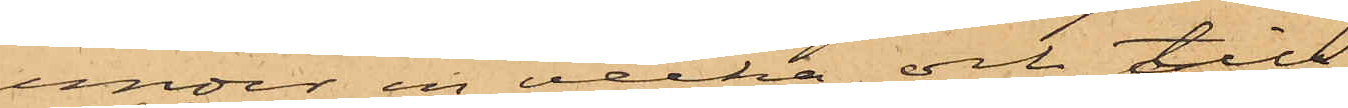under en vecka och till
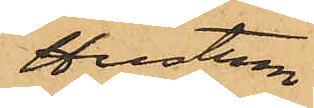Hustrun
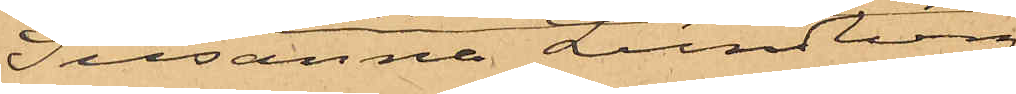Susanna Lundberg
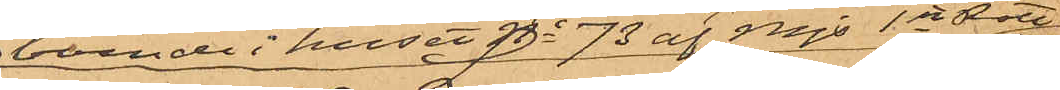boende i huset No 73 af Mjs 1ste Rote
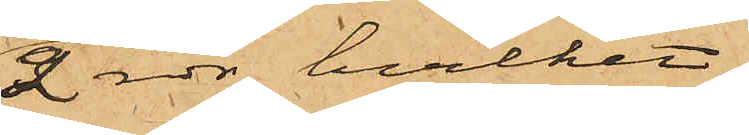2 rdr, hvilket
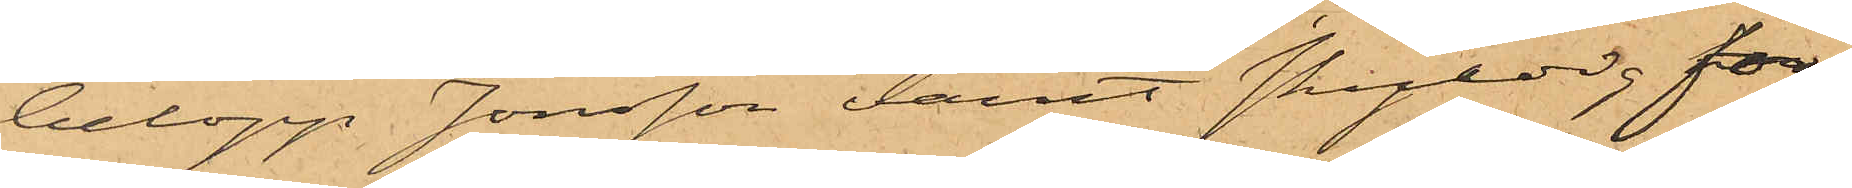belopp Jonsson varit skyldig för
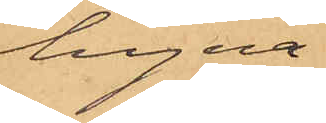hyra.
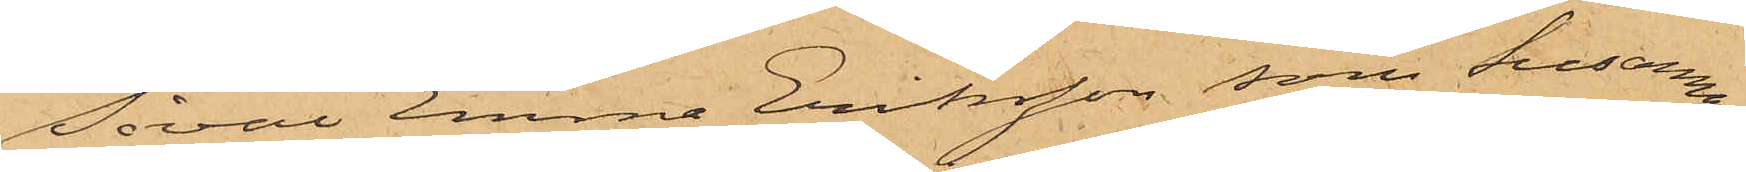Såväl Emma Eriksson, som Susanna
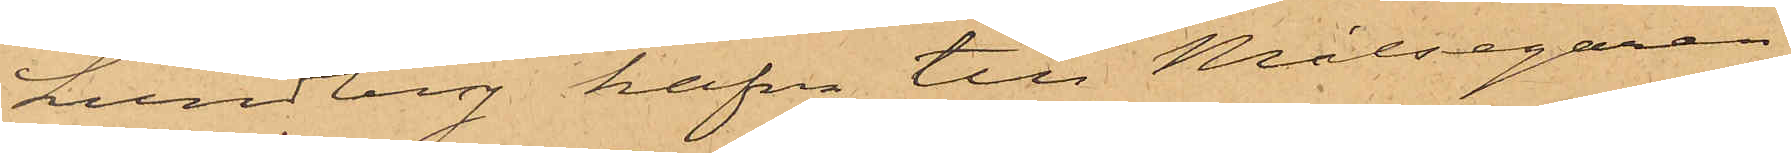Lundberg hafva till Målsegaren
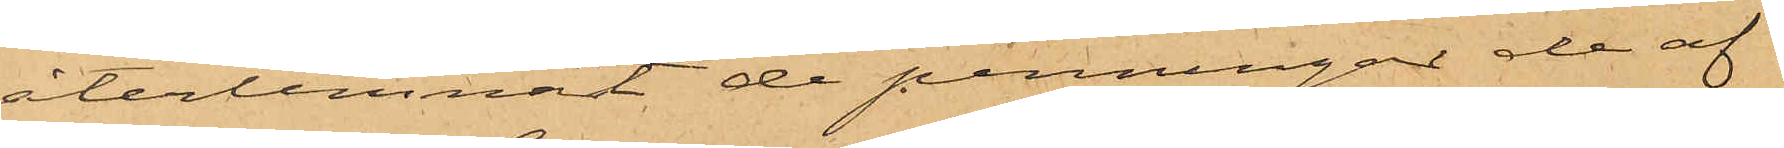återlemnat de penningar de af
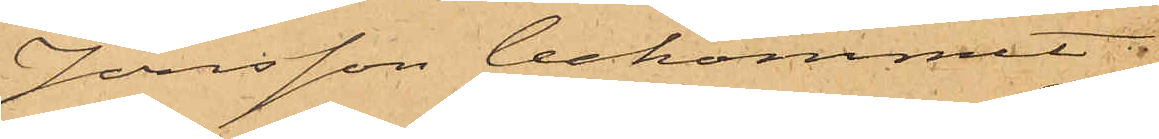Jonsson bekommit.
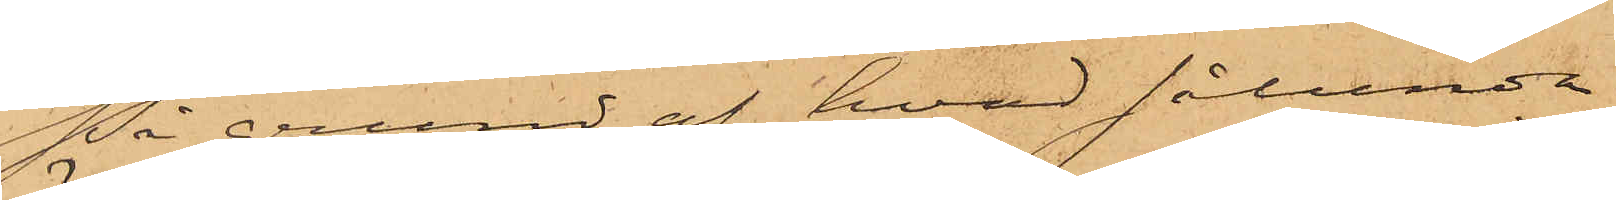På grund af hvad sålunda
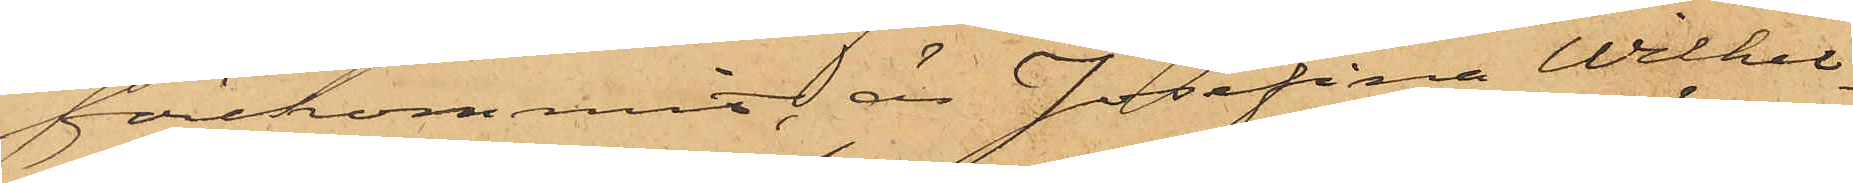förekommit, är Josefina Wilhel¬
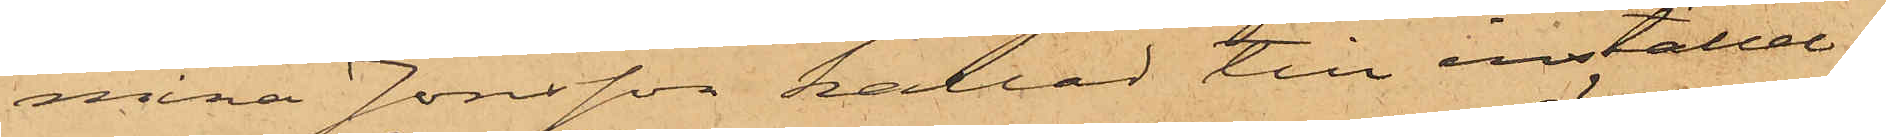mina Jonsson kallad till inställel¬
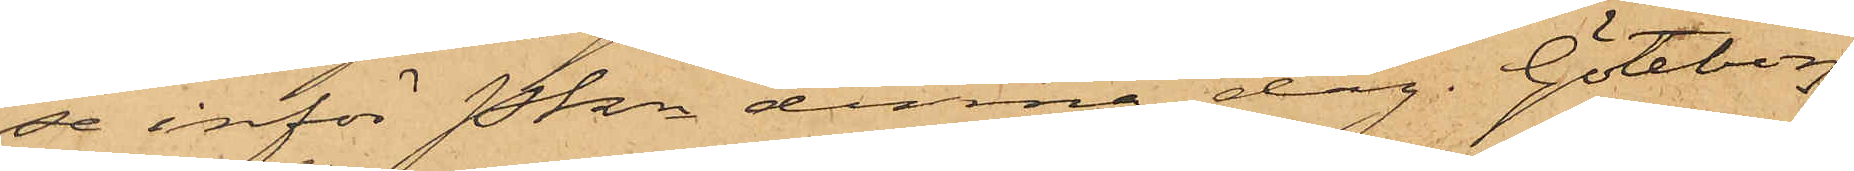se inför Pkn denna dag. Göteborg
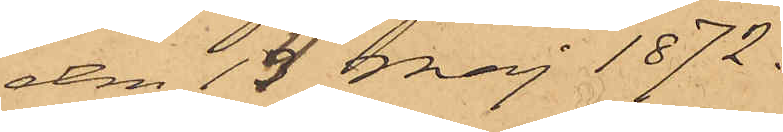den 14 Maj 1872.
